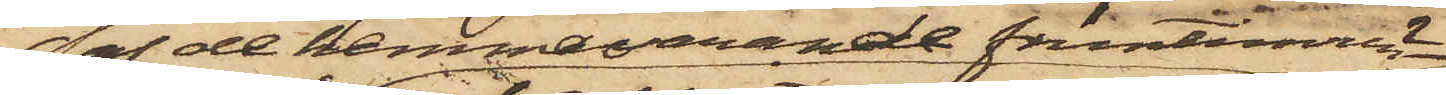af de hemmavarande fruntimren
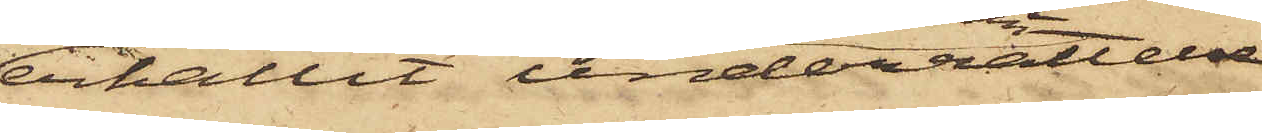erhållit underrättelse
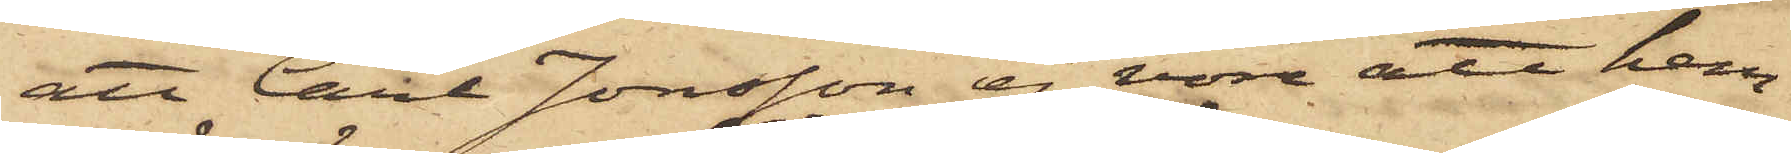att Carl Jonsson ej vore att hem¬
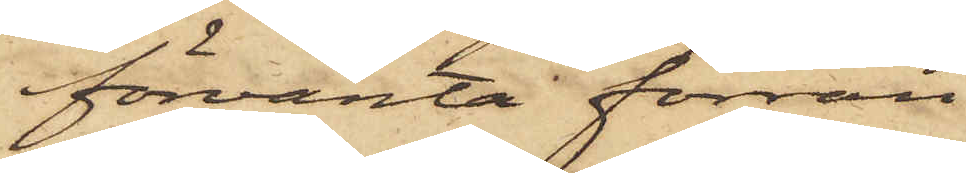förvänta förrän
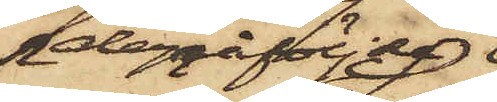derpåföljda
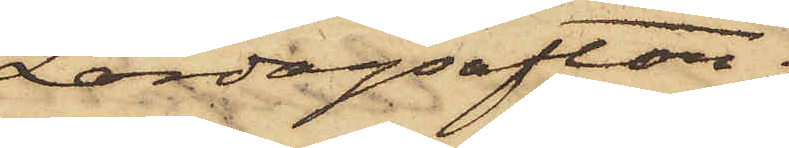Lördagsafton;
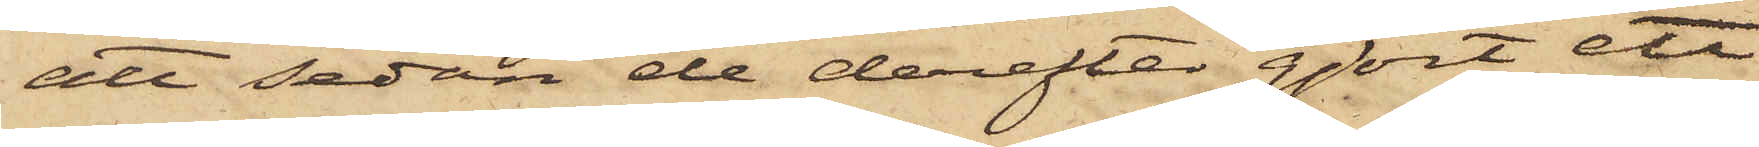att sedan de derefter gjort ett
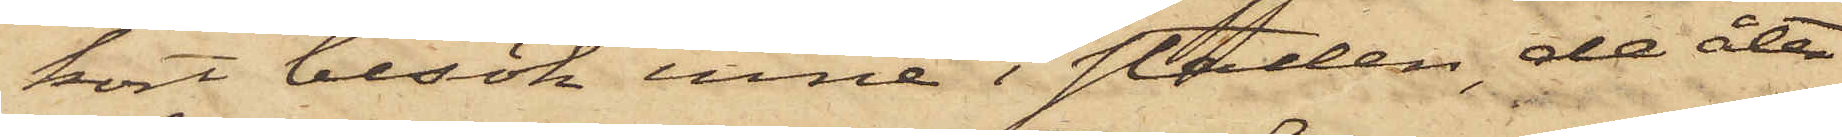kort besök inne i Staden, de åter¬
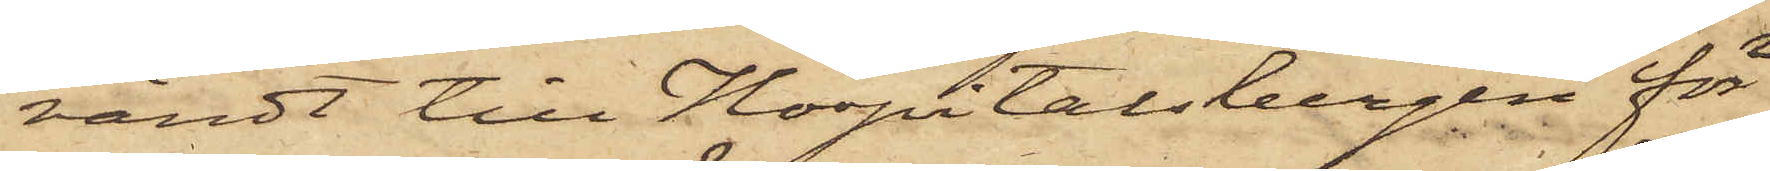vändt till Hospitalsbergen för
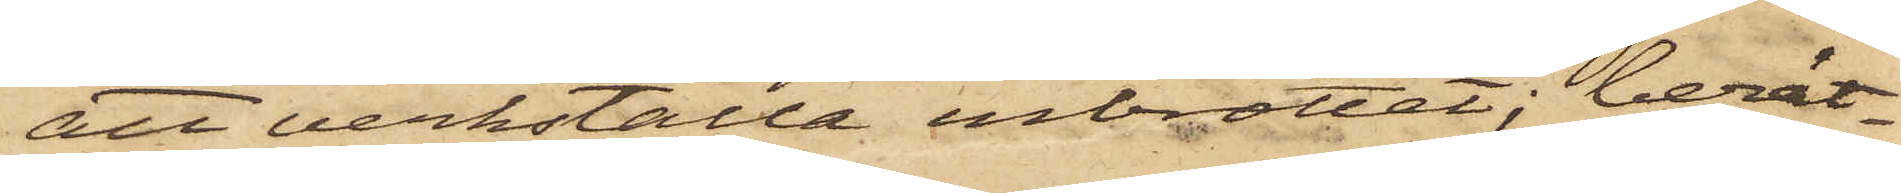att verkställa inbrottet; berät¬
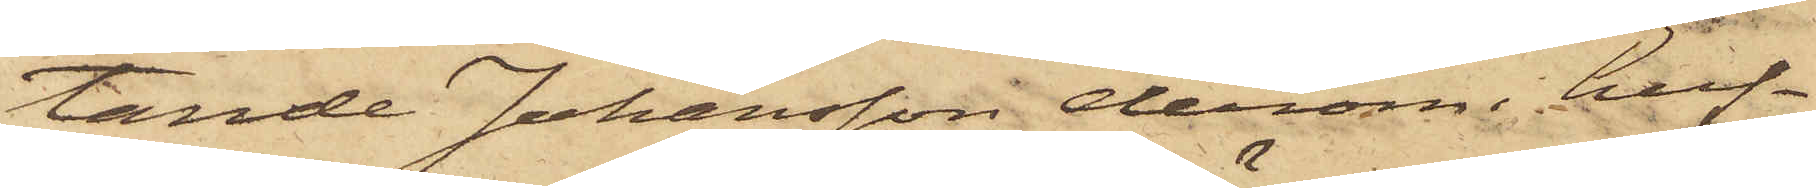tande Johansson derom i huf¬
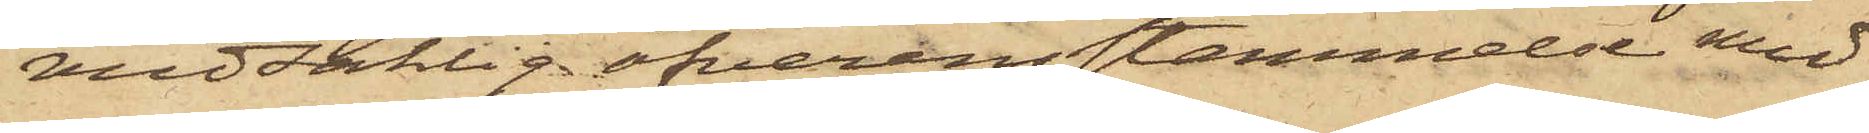vudsaklig öfverenstämmelse med
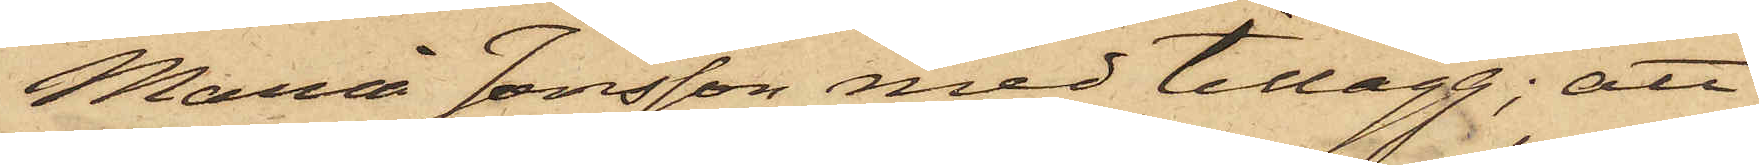Maria Jonsson med tillägg; att
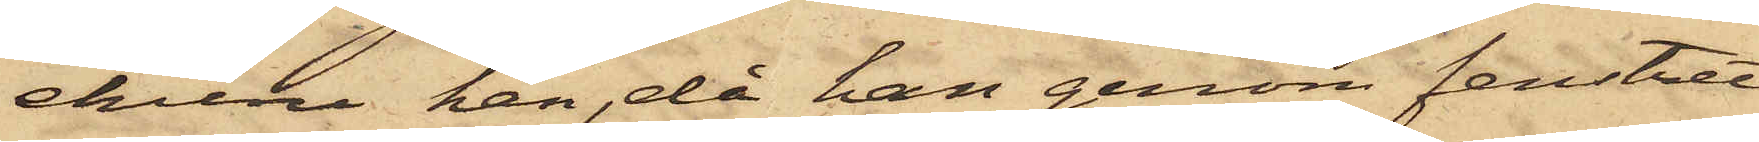ehuru han, då han genom fenstret
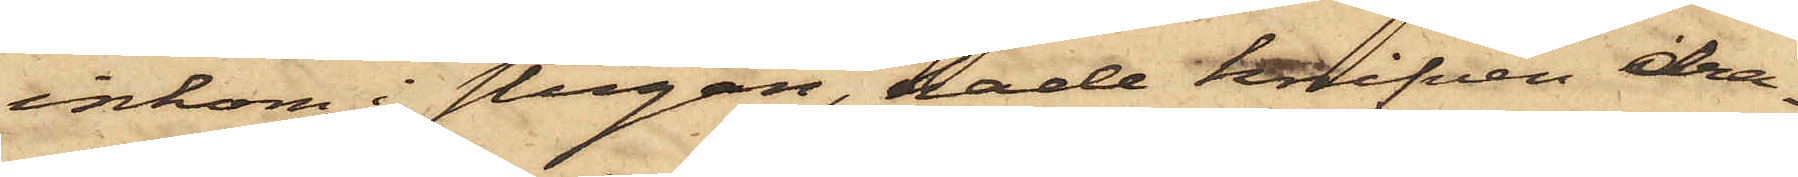inkom i stugan, hade knifven dra¬
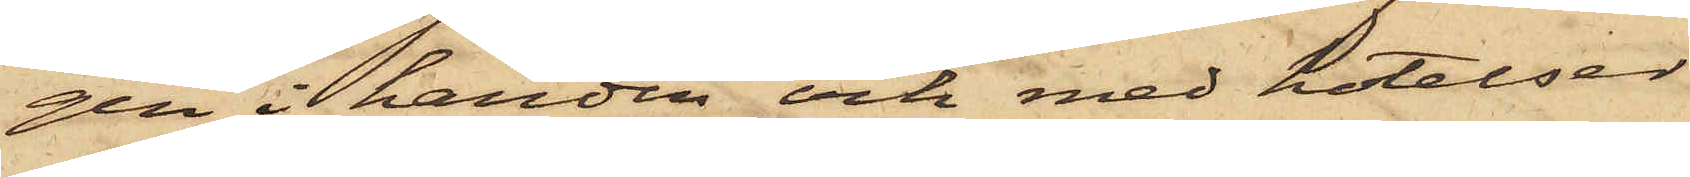gen i handen och med hotelser
